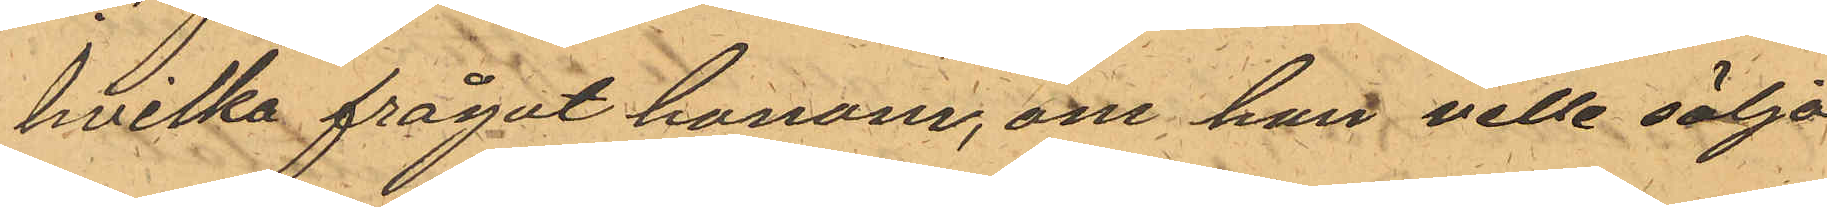hvilka frågat honom, om han ville sälja
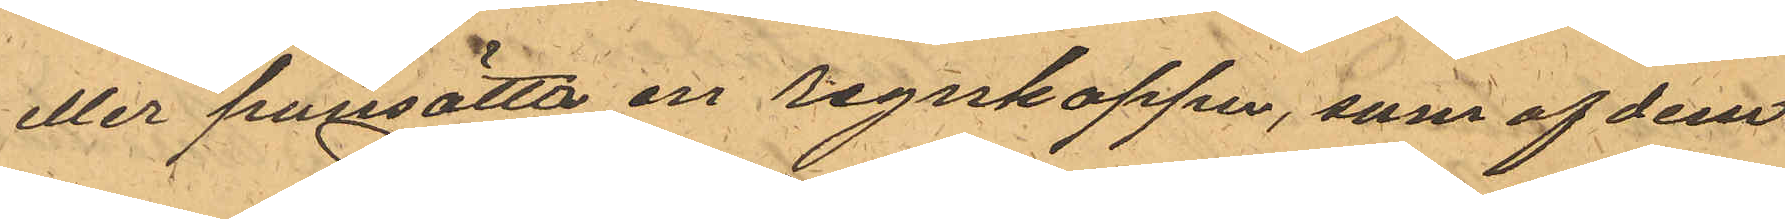eller pansätta en regnkappa, som af dem
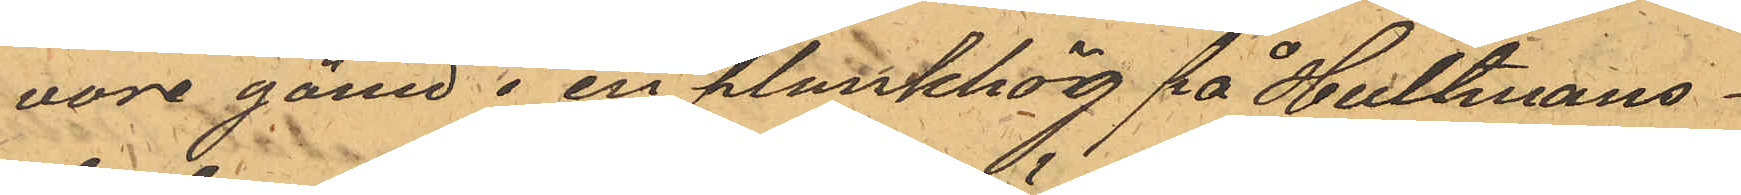vore gömd i en plankhög på Hultmans¬
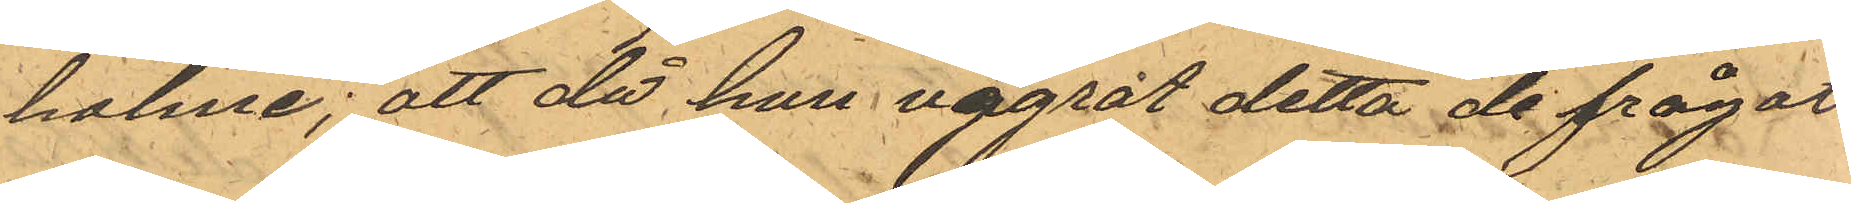holme; att då han vägrat detta de frågat
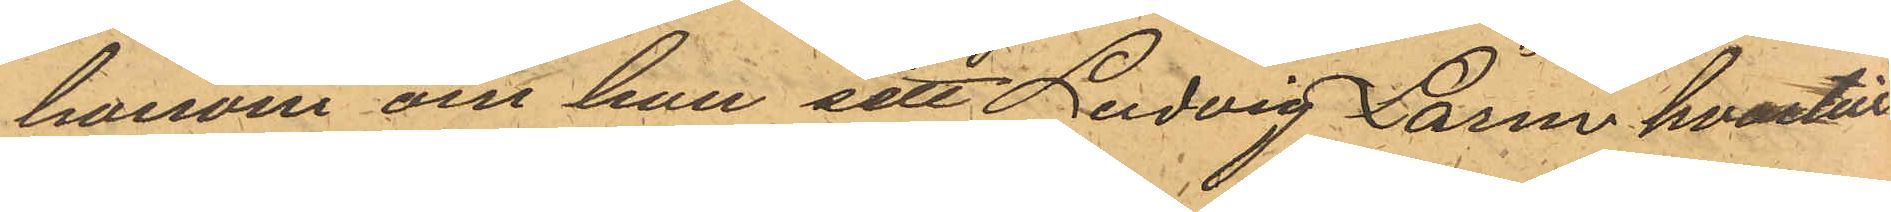honom om han sett Ludvig Larm hvartill
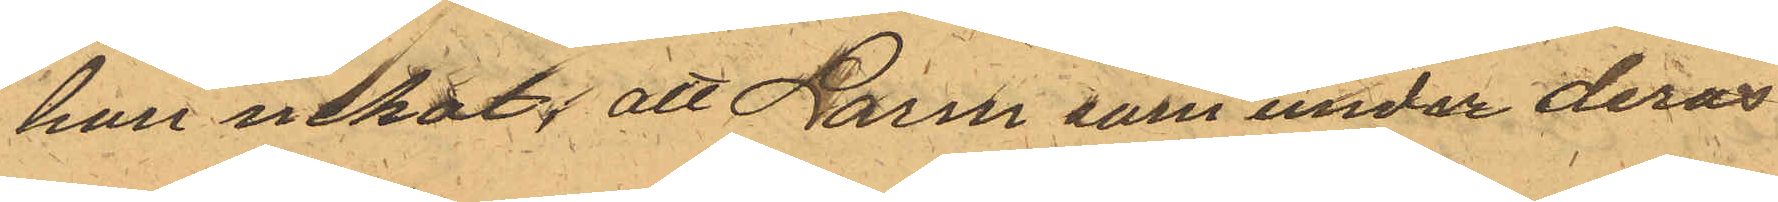han nekat; att Larm som under deras
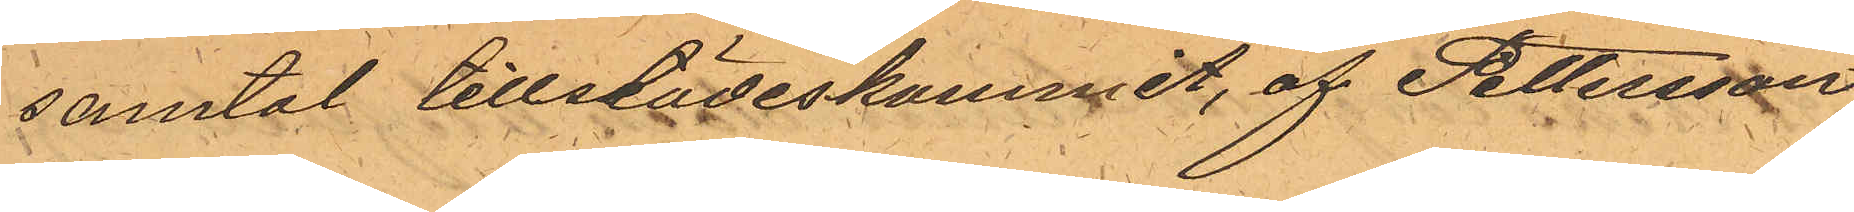samtal tillstädeskommit, af Pettersson
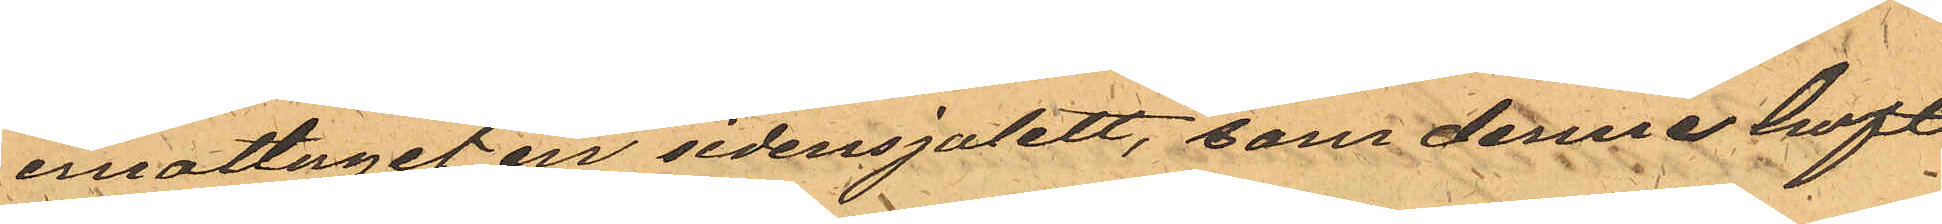emottagit en sidensjalett, som denne haft
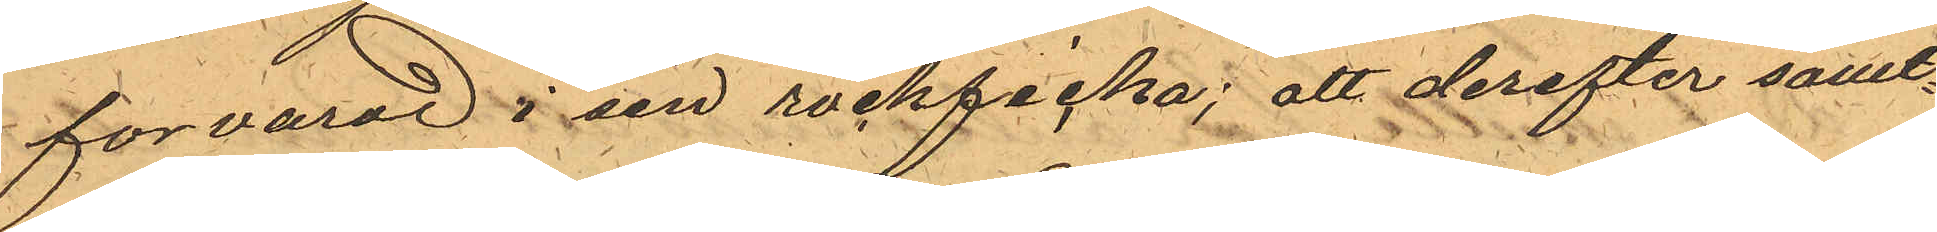forvarad i sin rockficka; att derefter samt¬
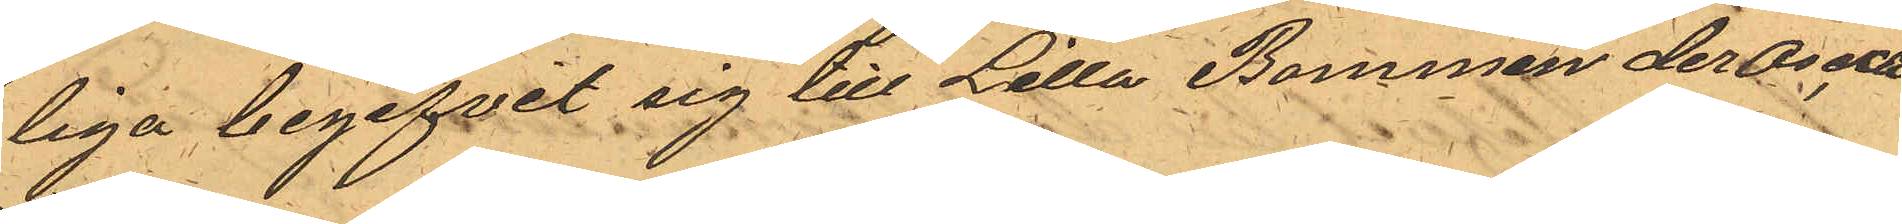liga begifvit sig till Lilla Bommen der Oscar
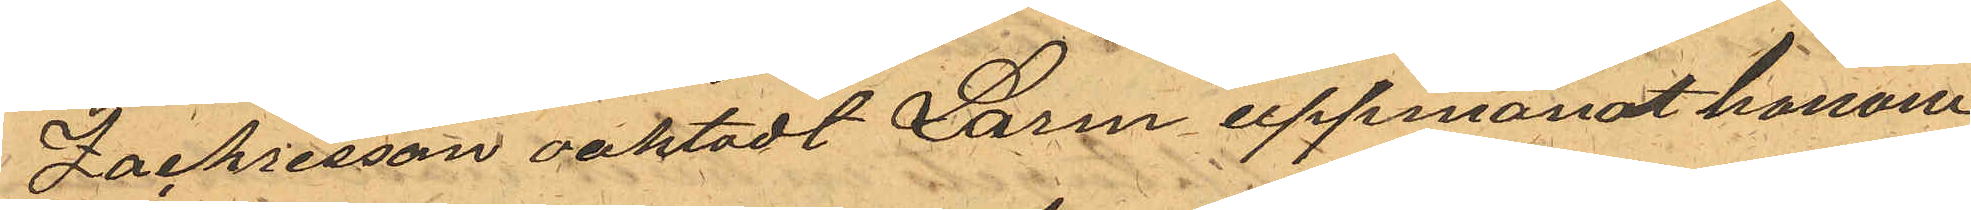Zachrisson oaktadt Larm uppmanat honom
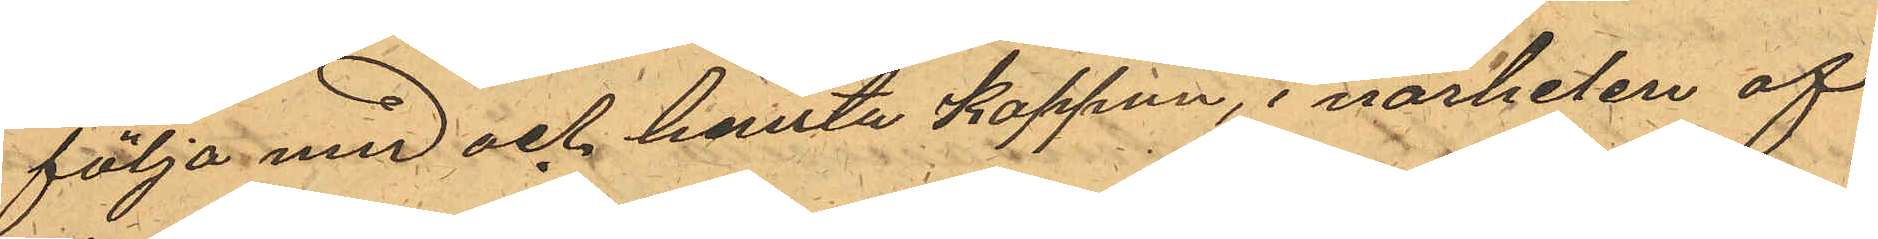följa med och hemta kappan, i närheten af
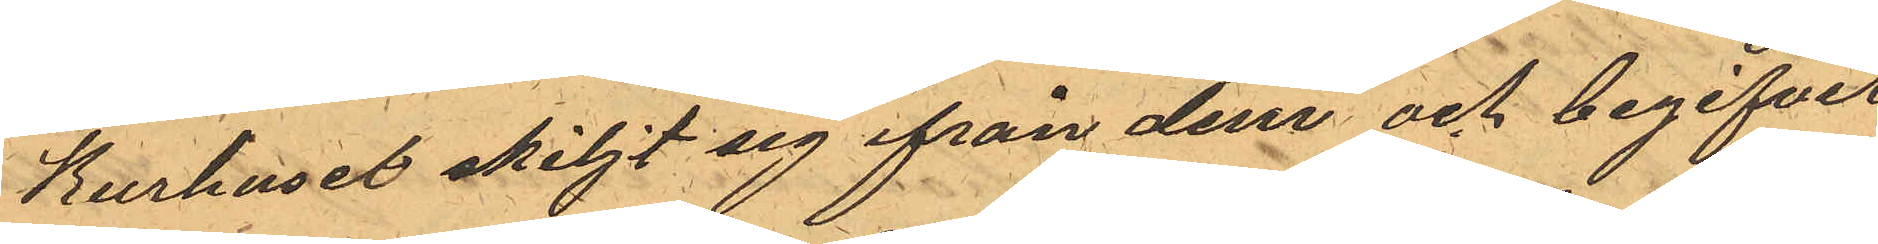Kurhuset skiljt sig ifrån dem och begifvit
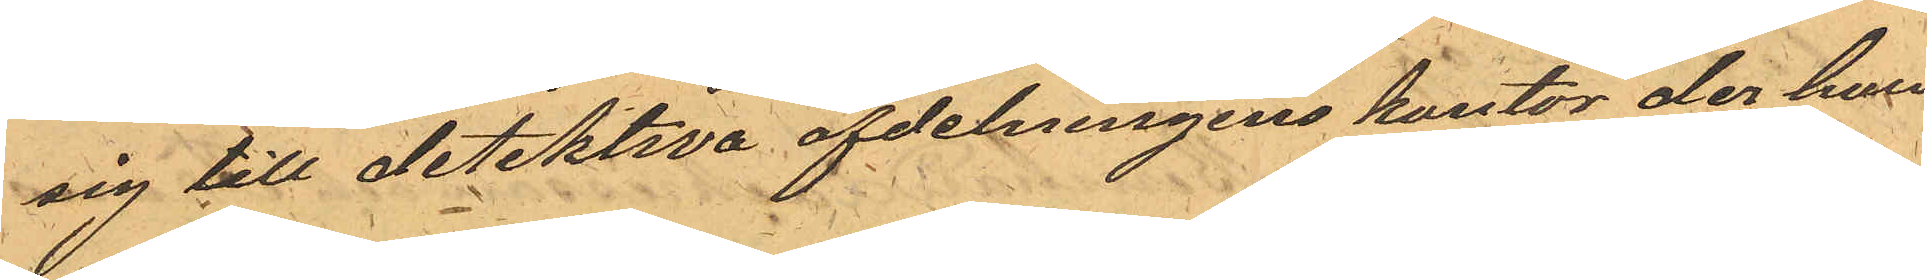sig till detektiva afdelningens kontor der han
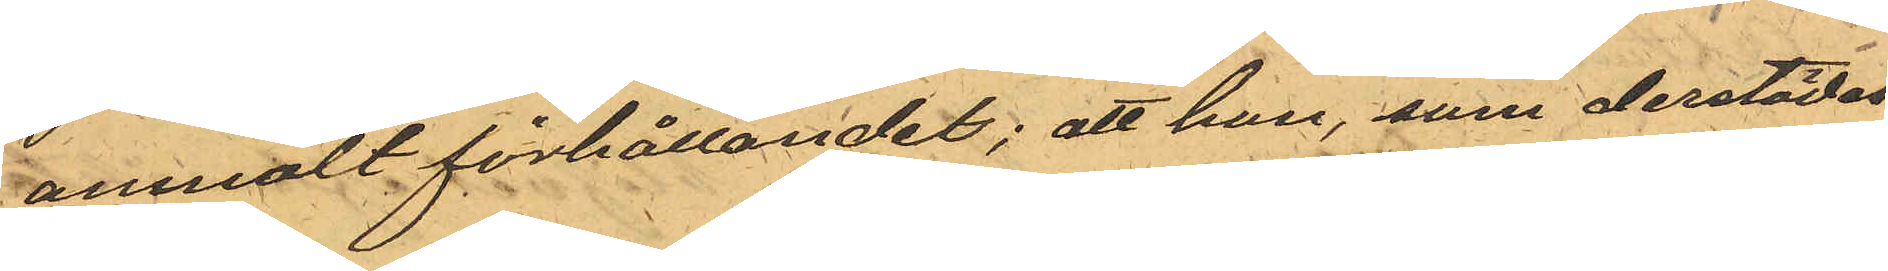anmält förhållandet; att han, som derstädes
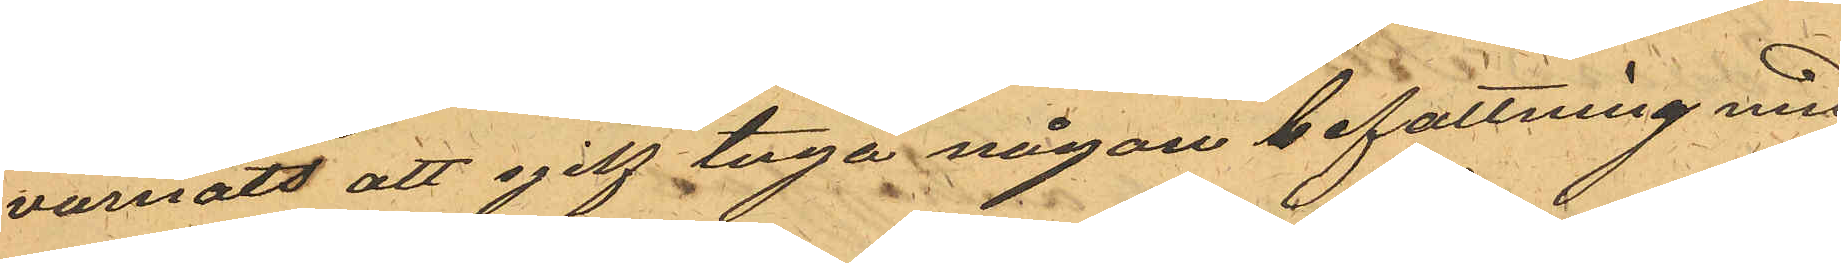varnats att sjelf taga någon befattning med
